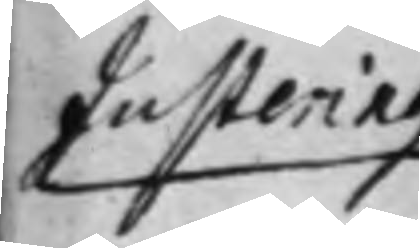Justering
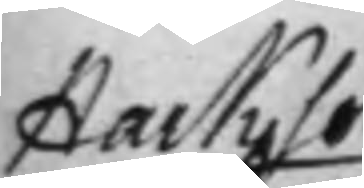Hacksons
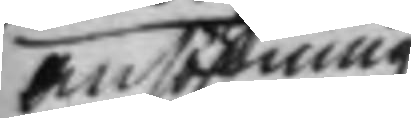ansökning
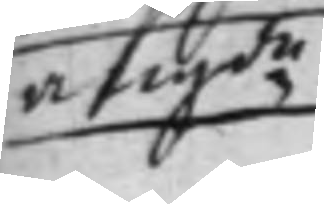angde
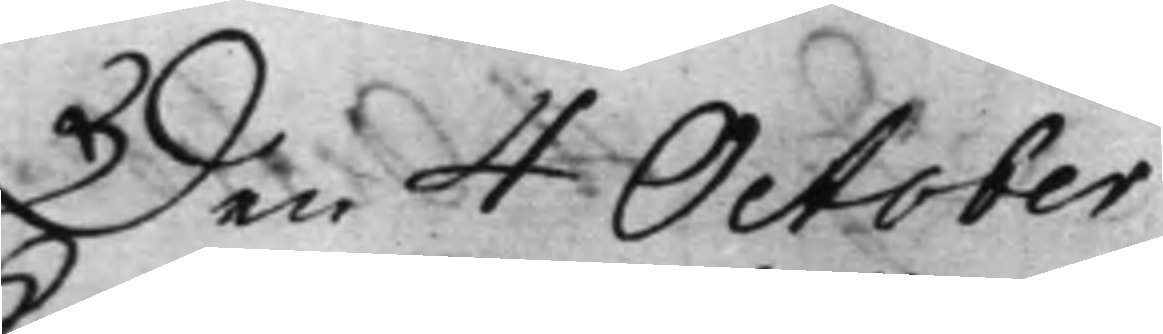Den 4 October
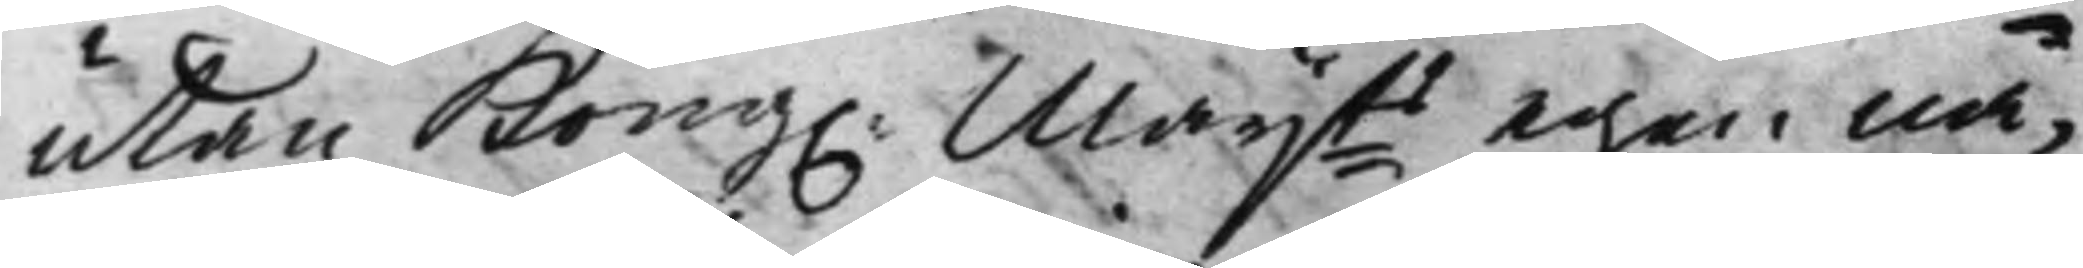utan Kong. Maijts egen nå¬
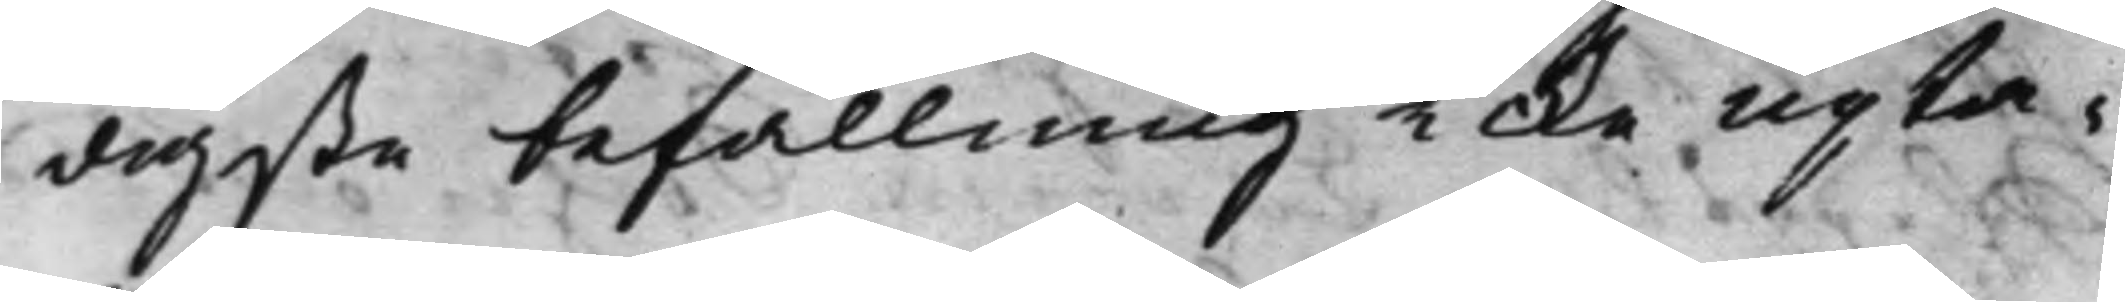digste befallning icke upta¬
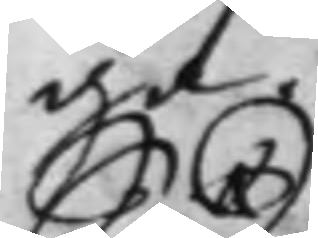ga.
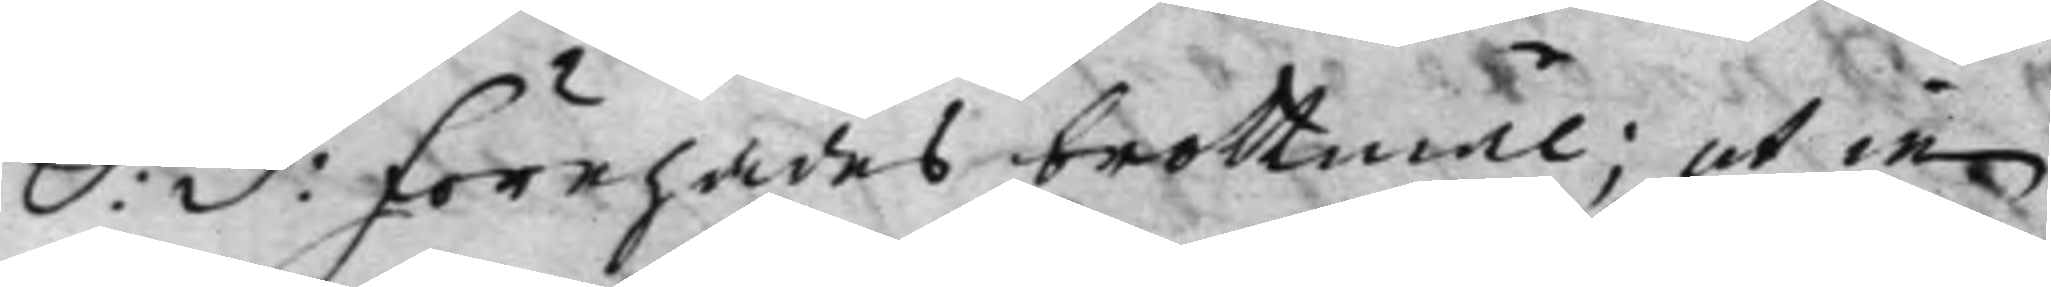S: D: Förehades brottmål; ut in
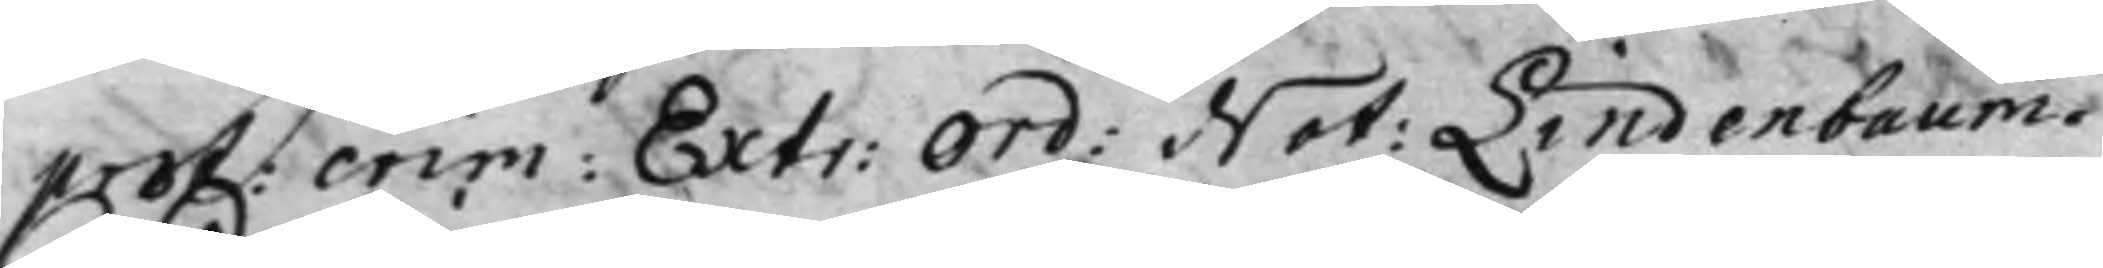prot: crim: Extr: Ord: Not: Lindenbaum.
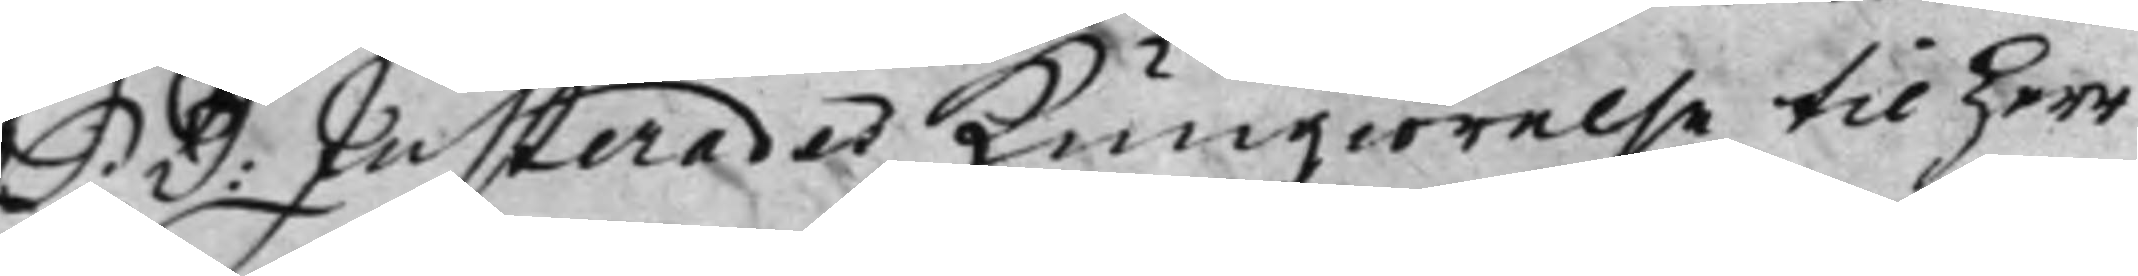S: D: Justerades Kungiörelse til Herr
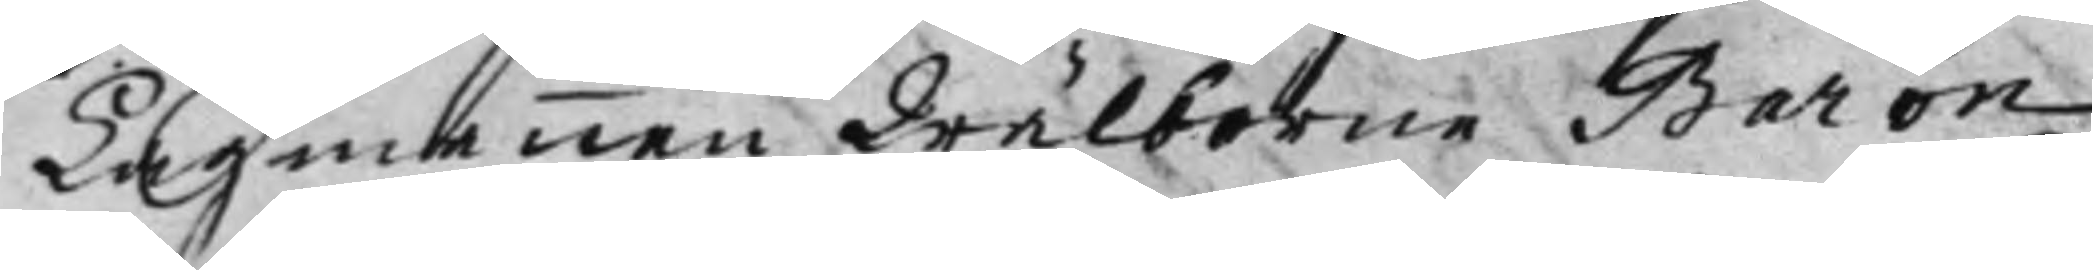Lagmannen Wälborne Baron
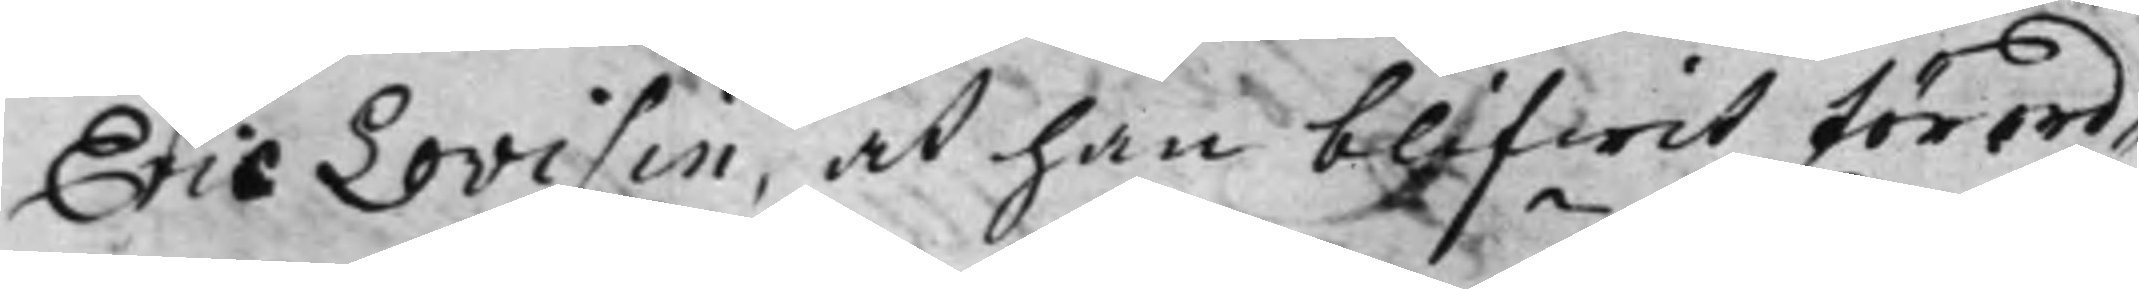Eric Lovisin, at han blifwit förord¬
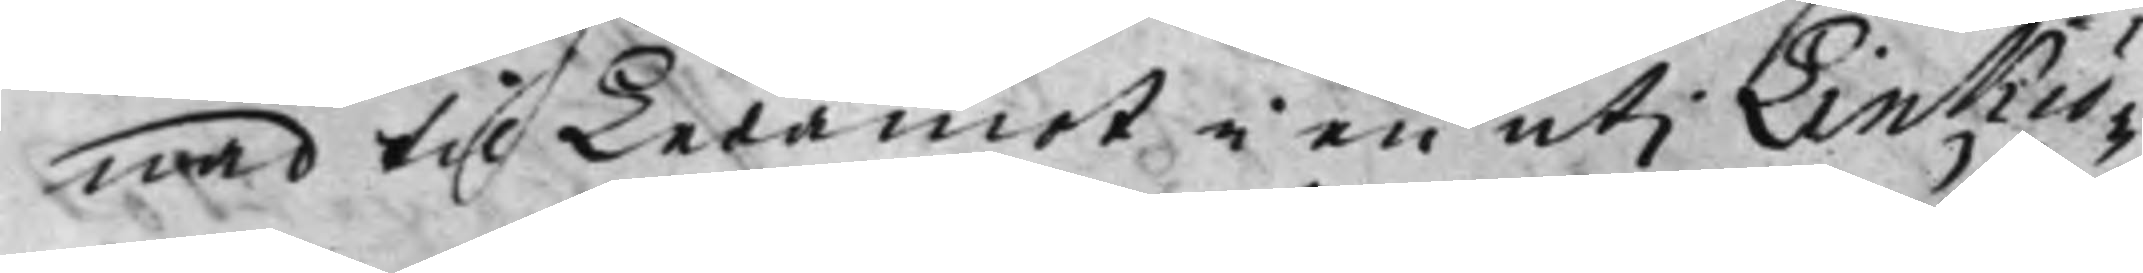nad til Ledamot i en uti Linkiö¬
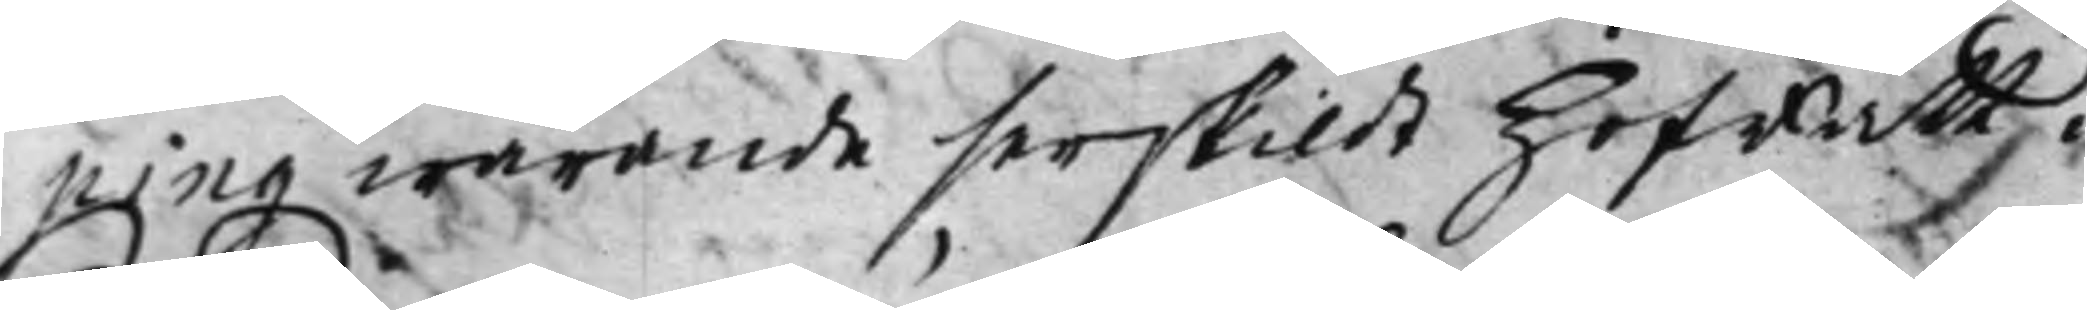ping warande serskildt Hofrätt.
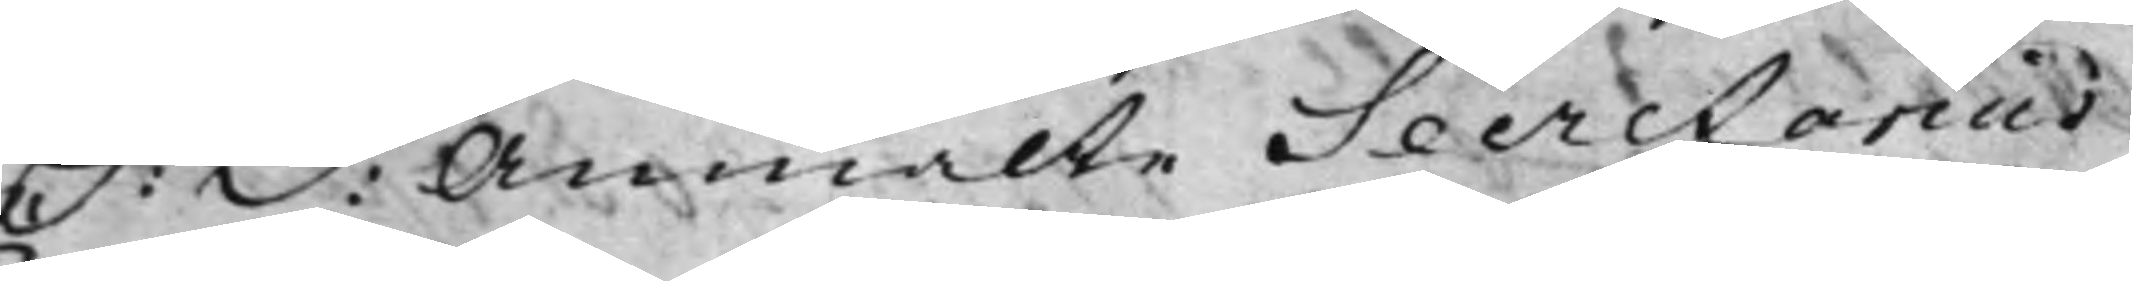S: D: Anmälte Secretarius
